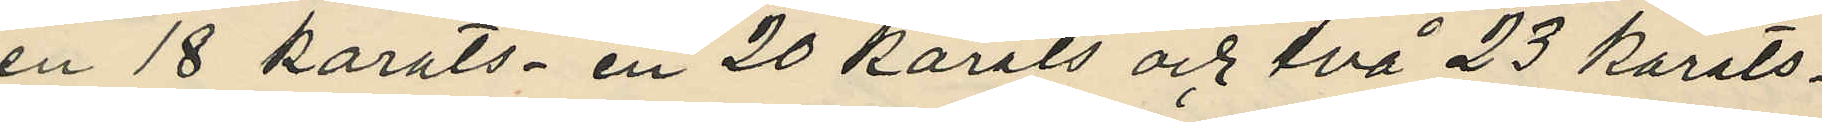en 18 karats en 20 karats och två 23 karats¬
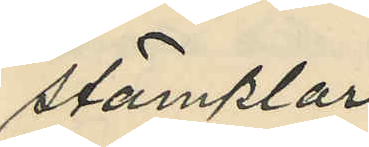stämplar.
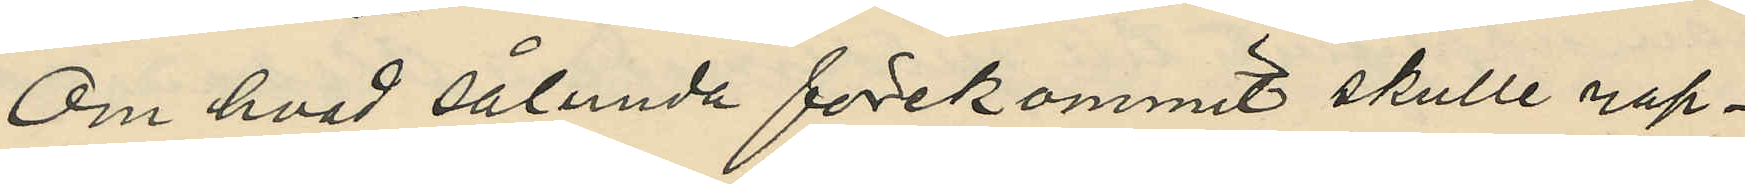Om hvad sålunda förekommit skulle rap¬
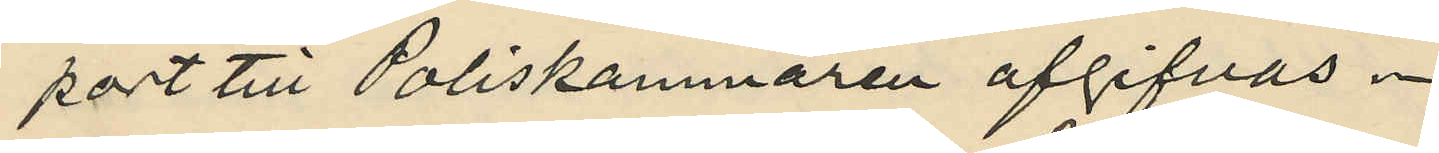port till Poliskammaren afgifvas.
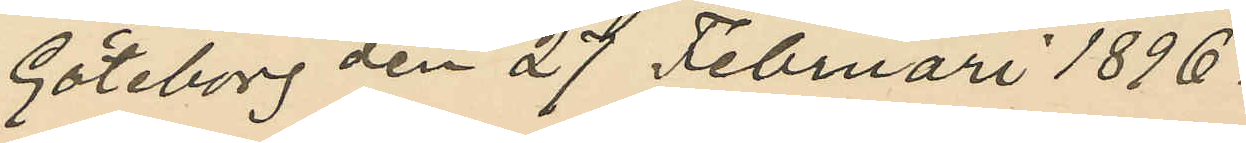Göteborg den 27 Februari 1896.
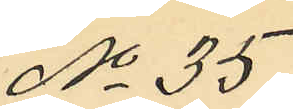No 35.
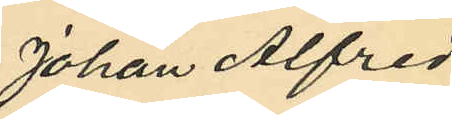Johan Alfred
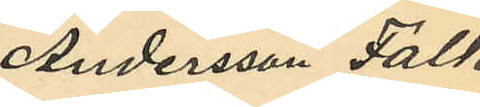Andersson Falk.
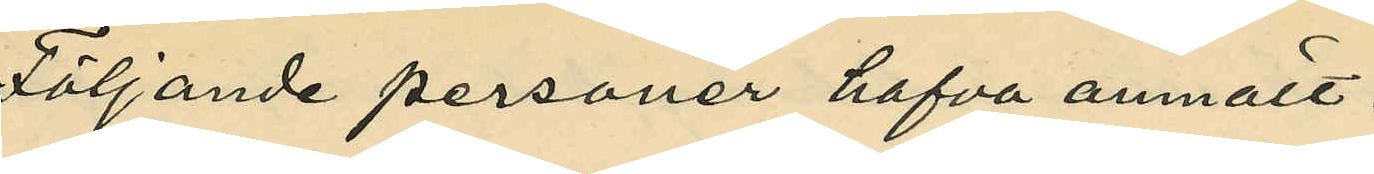Följande personer hafva anmält:
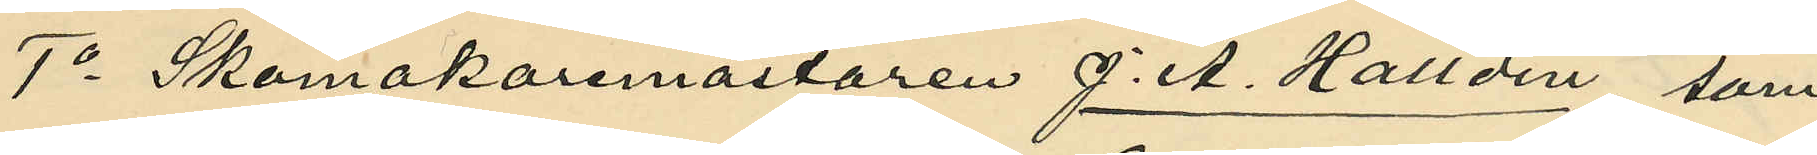1o Skomakaremastaren J. A. Halldin, som
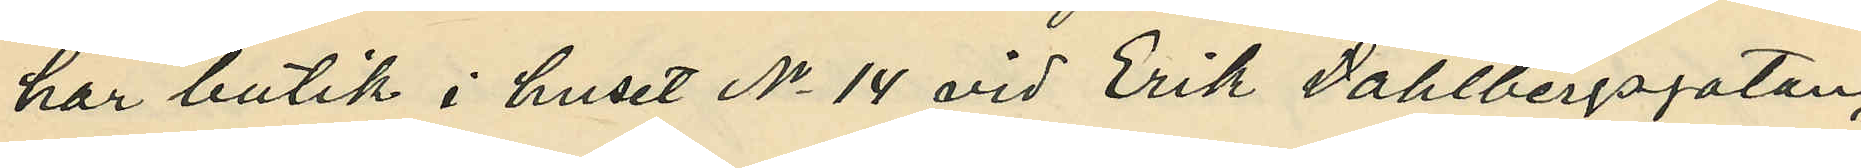har butik i huset No 14 vid Erik Dahlbergsgatan,
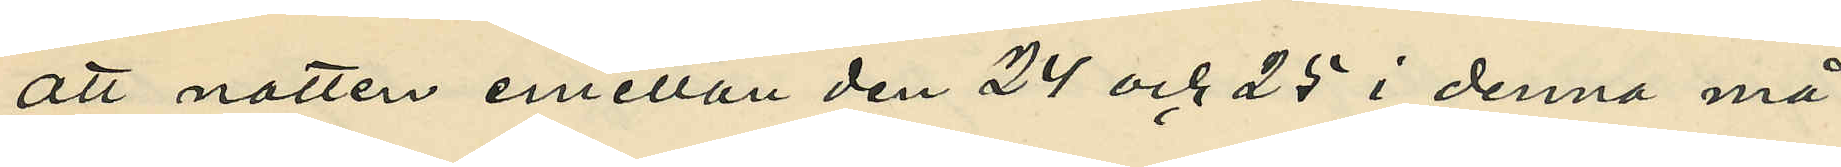att natten emellan den 24 och 25 i denna må¬
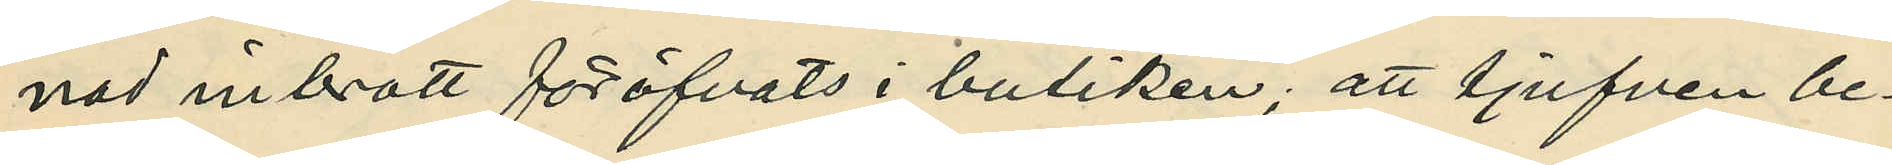nad inbrott föröfvats i butiken; att tjufven be¬
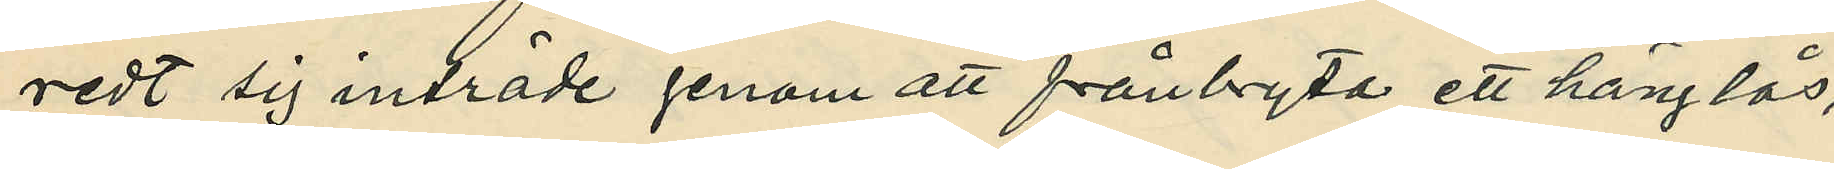redt sig inträde genom att frånbryta ett hänglås,
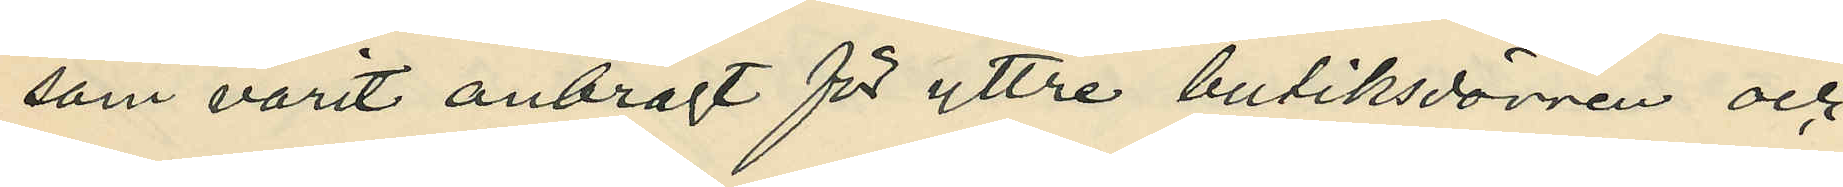som varit anbragt för yttre butiksdörren och
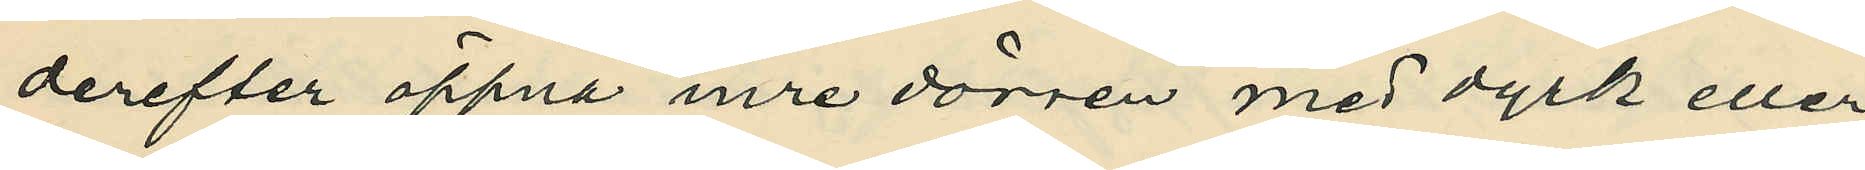derefter öppna inre dörren med dyrk eller
